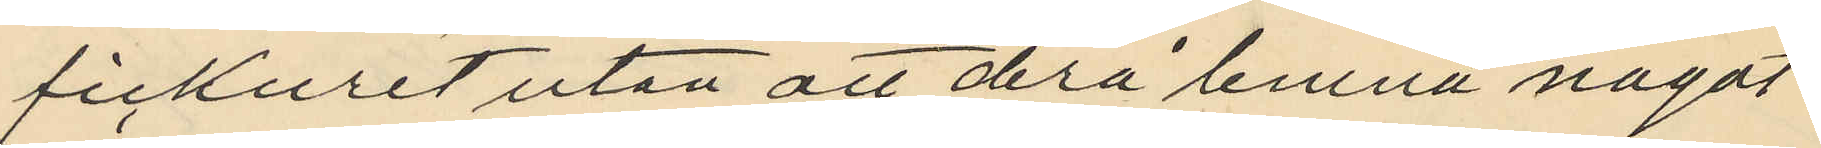fickuret utan att derå lemna något
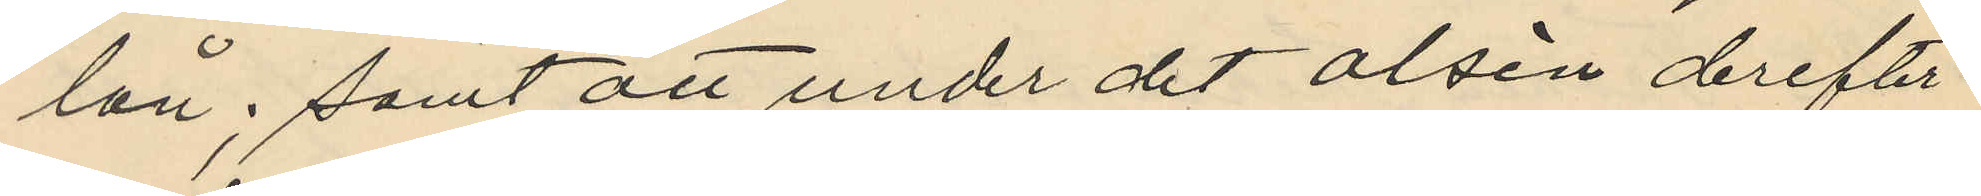lån; samt att under det Olsén derefter
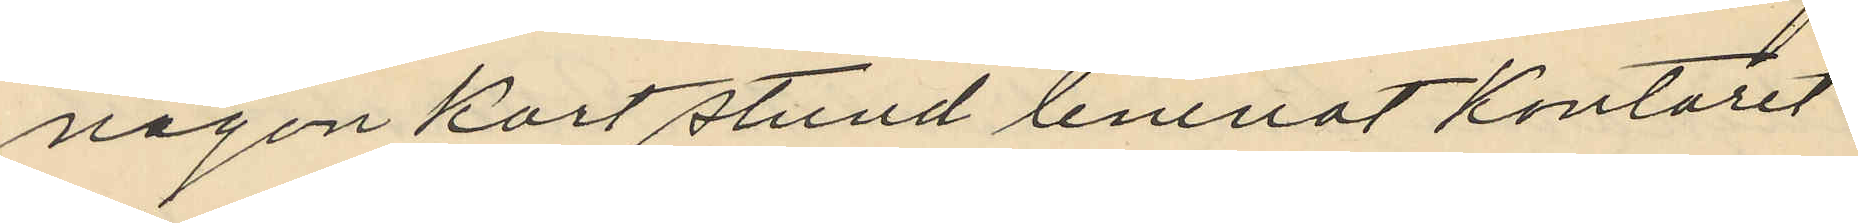någon kort stund lemnat kontoret
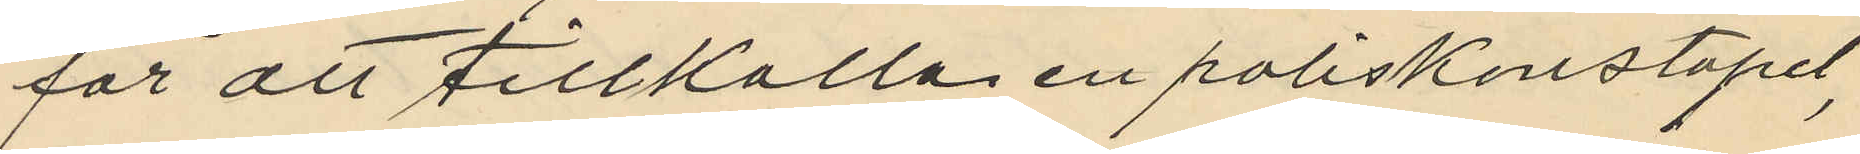för att tillkalla en poliskonstapel,
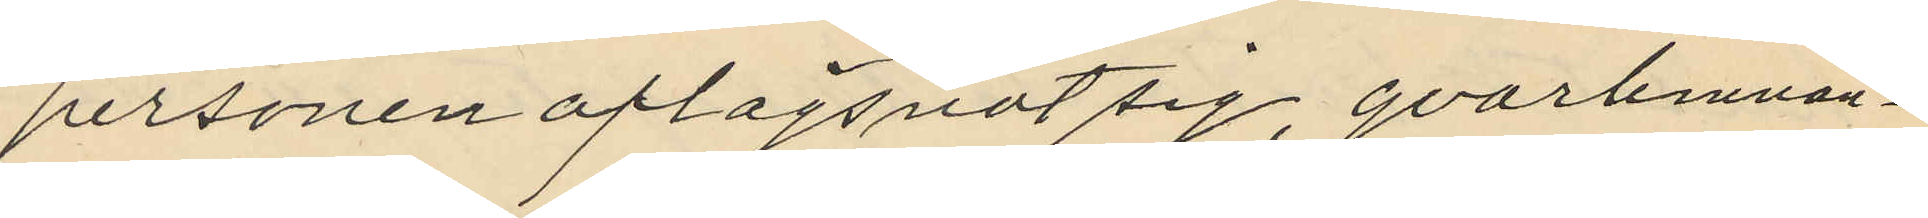personen aflägsnat sig, qvarlemnan¬
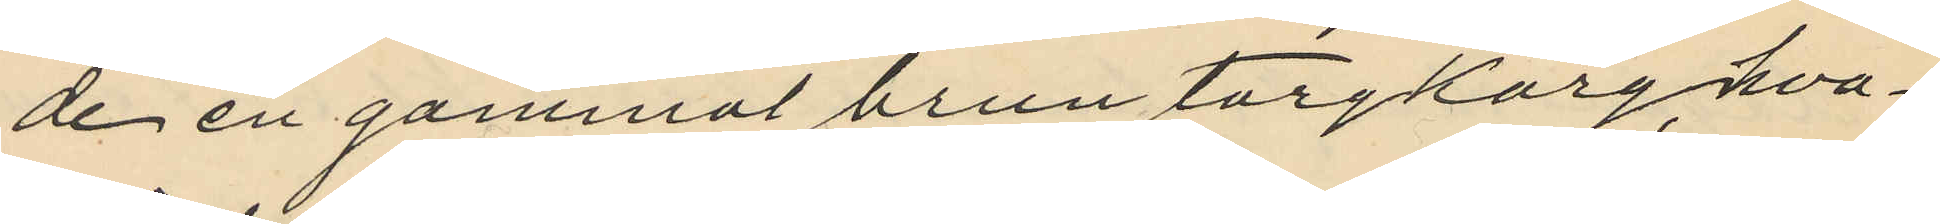de en gammal brun torgkorg, hva¬
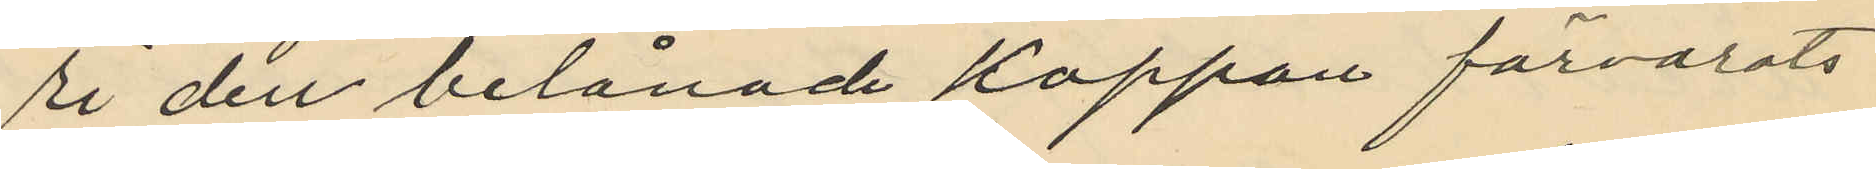ri den belånade kappan förvarats
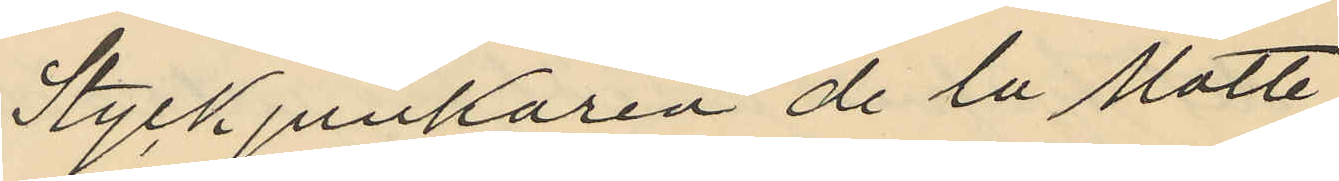Styckjunkaren de la Motte
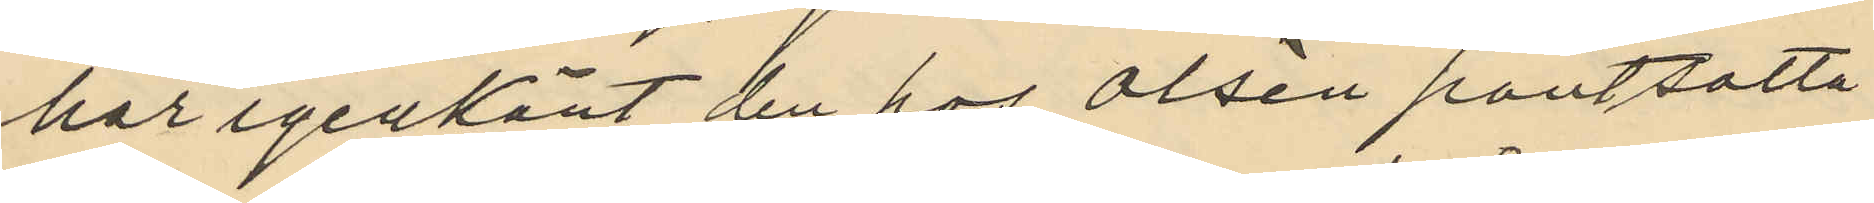har igenkänt den hos Olsén pantsatta
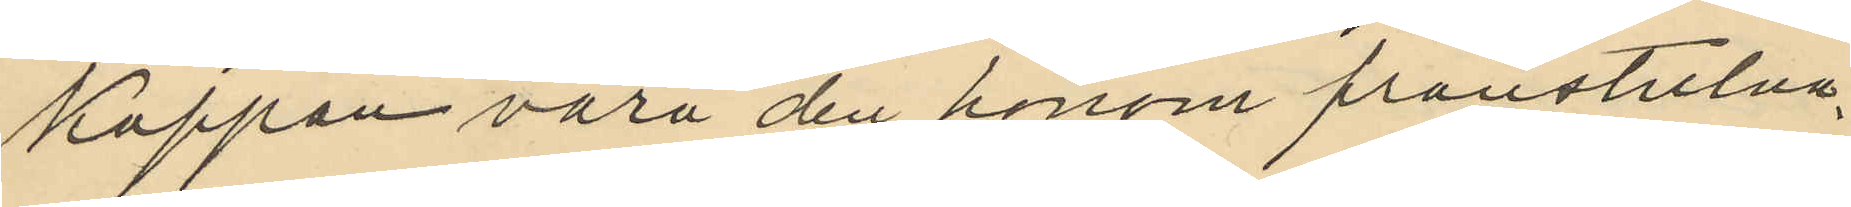kappan vara den honom frånstulna.
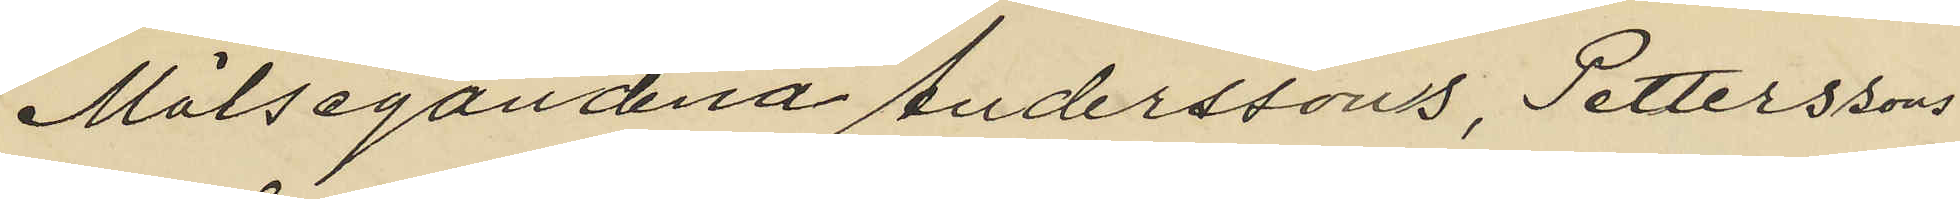Målsegandena Anderssons, Petterssons
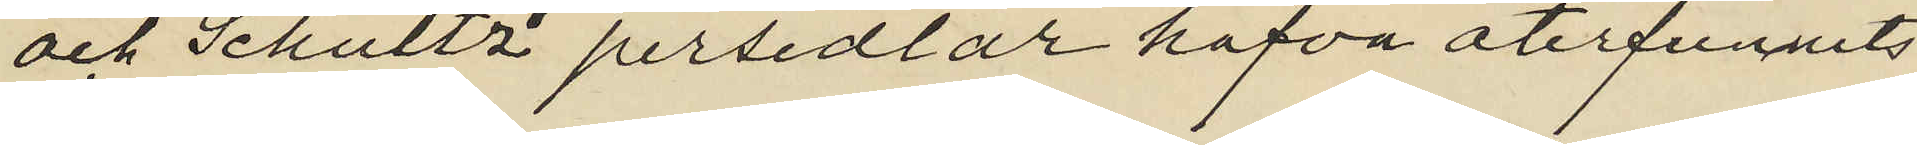och Schultz´ persedlar hafva återfunnits
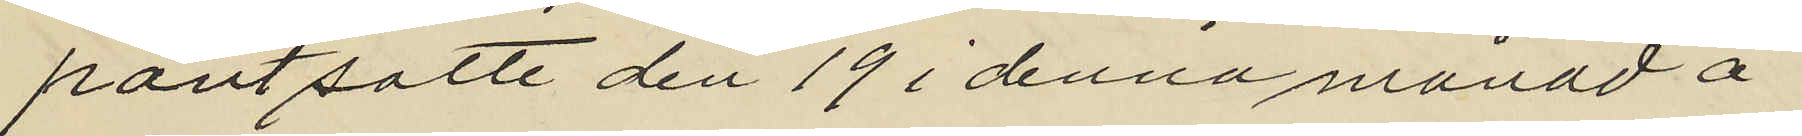pantsatte den 19 i denna månad å
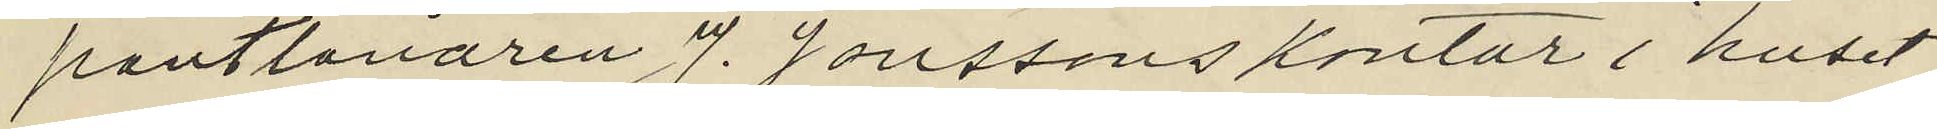pantlånaren J. Jonssons kontor i huset
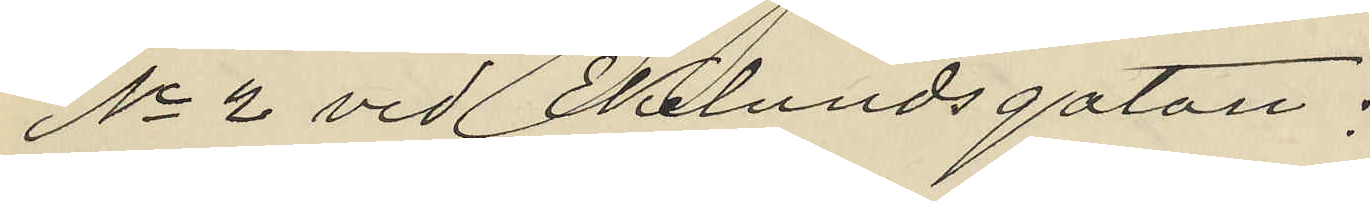No 2 vid Ekelundsgatan:
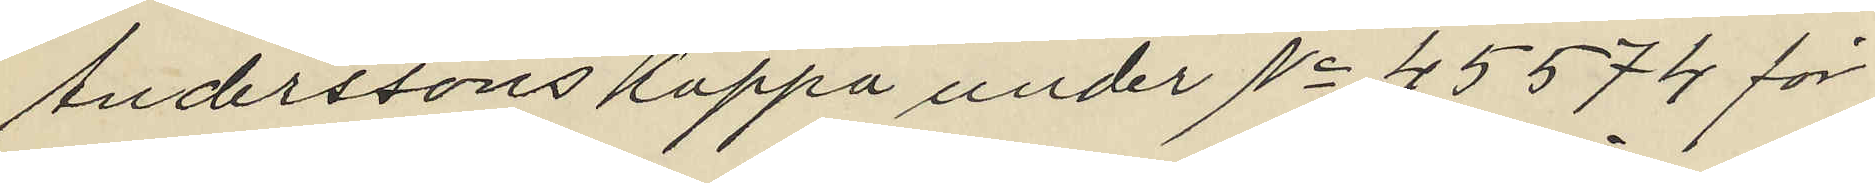Anderssons kappa under No 45574 för
